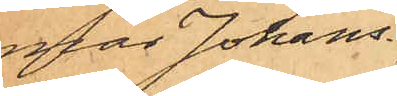mar Johans¬
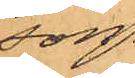son.
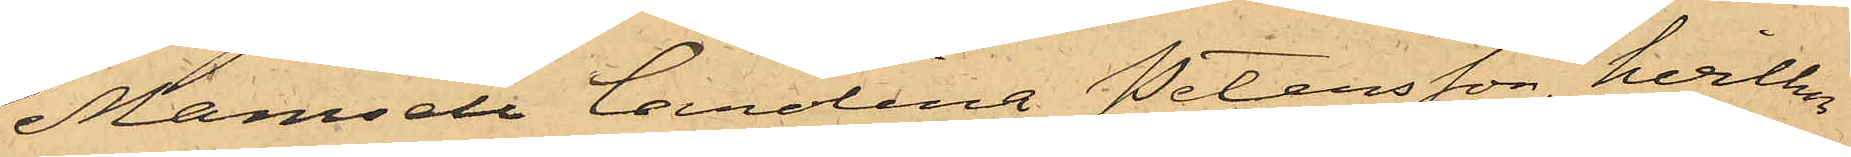Mamsell Carolina Petersson, hvilken
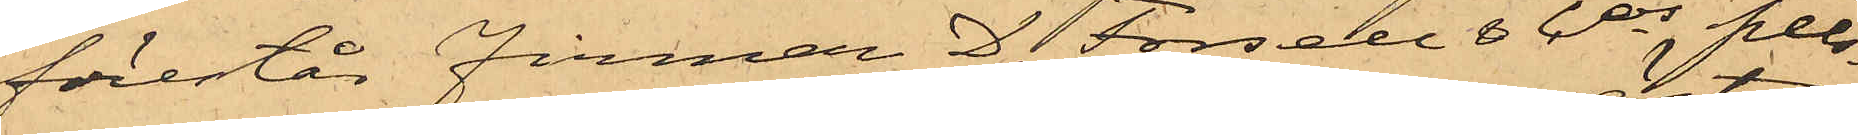förestår Firman D. Forsell & Cos pels¬
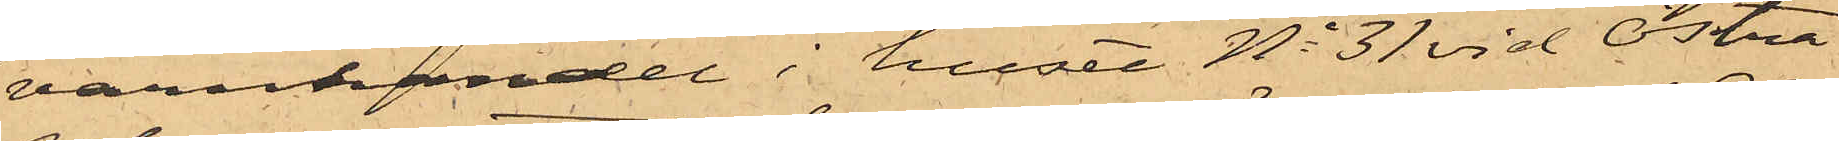varuhandel i huset No 31 vid Östra
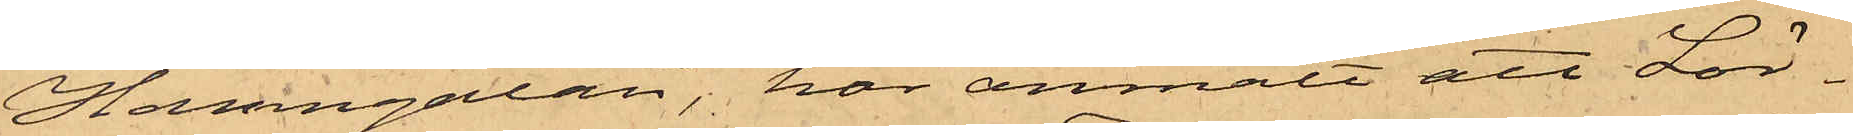Hamngatan, har anmält att Lör¬
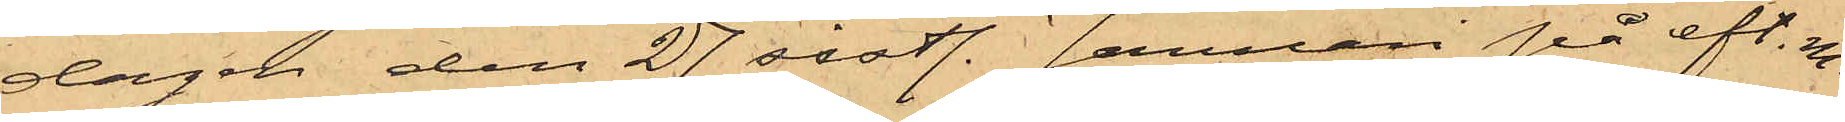dagen den 27 sistl. Januari på eft. m.
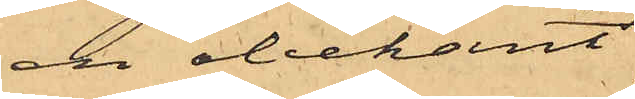en obekant
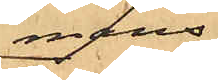mans¬
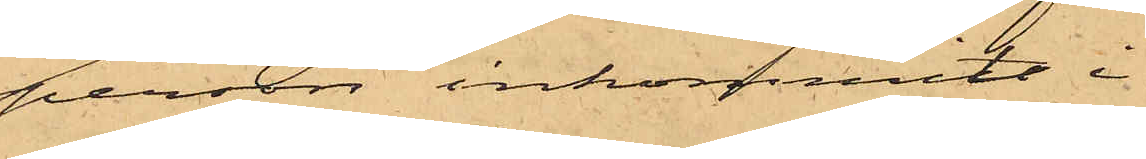person inkommit i
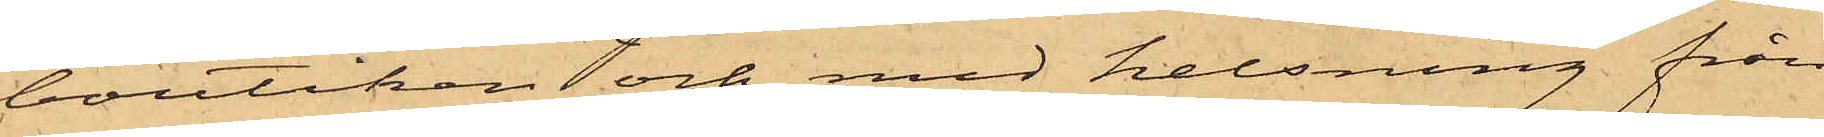boutiken och med helsning från
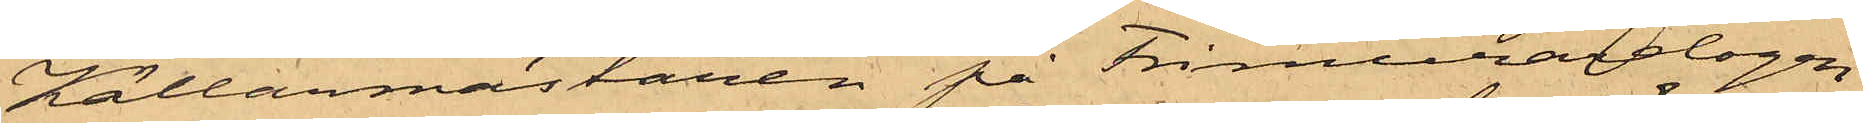Källarmästaren på Frimurarelogen
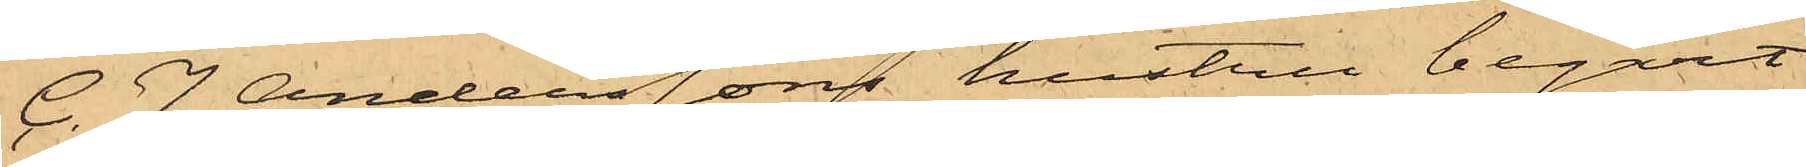C. J. Anderssons hustru begärt
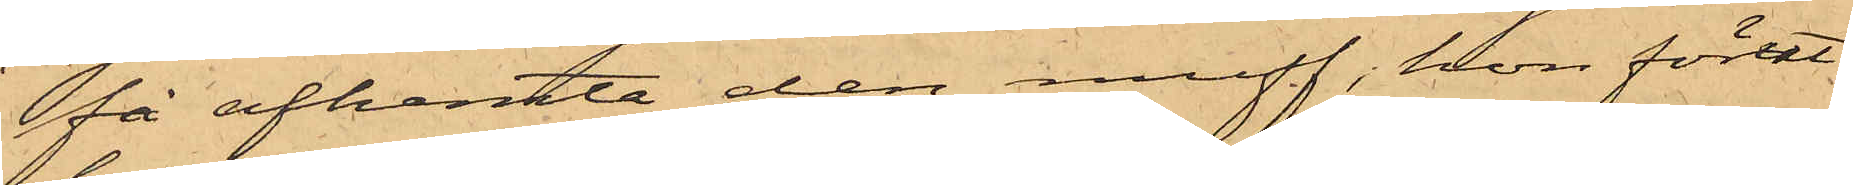få afhemta den muff, hon förut
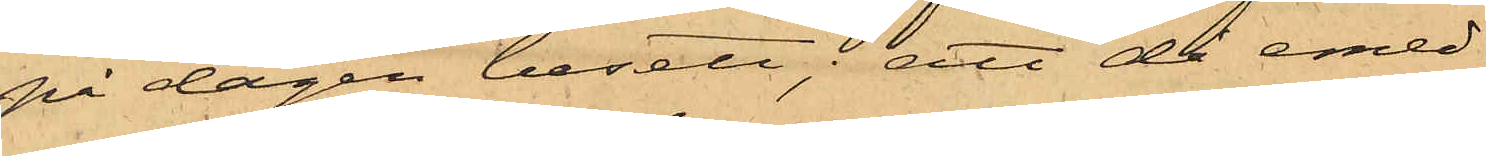på dagen besett; att då emed¬
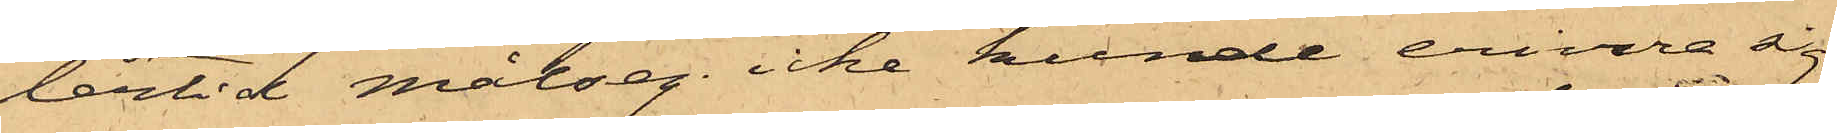lertid målseg. icke kunde erinra sig
